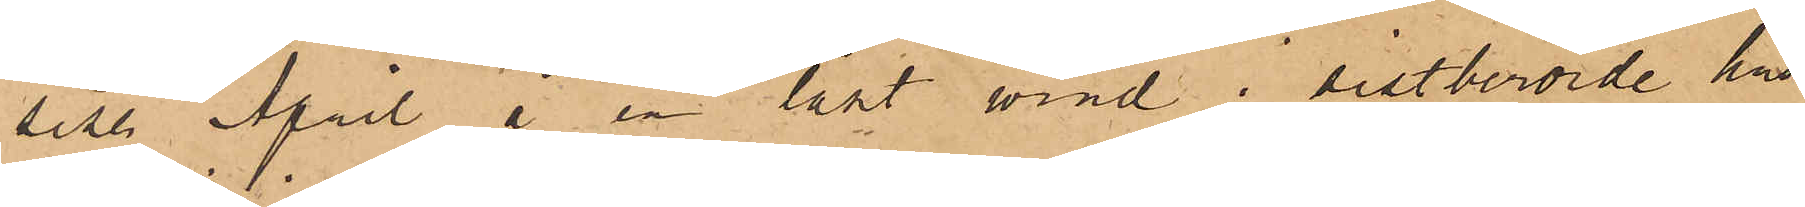sist. April å en låst vind i sistberörde hus
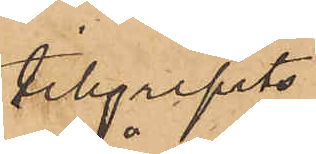tillgripits
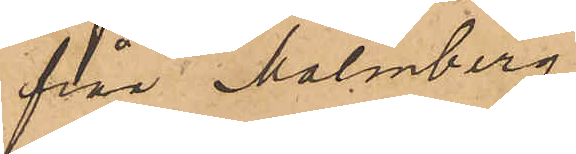från Malmberg
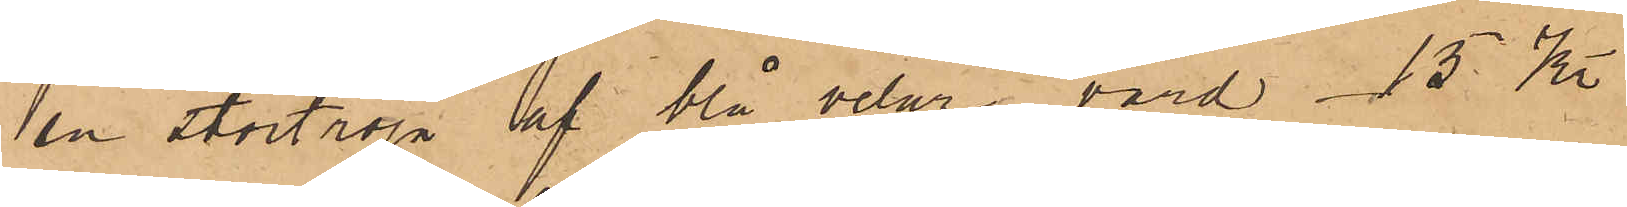en stortröja af blå velur, värd 15 Kr
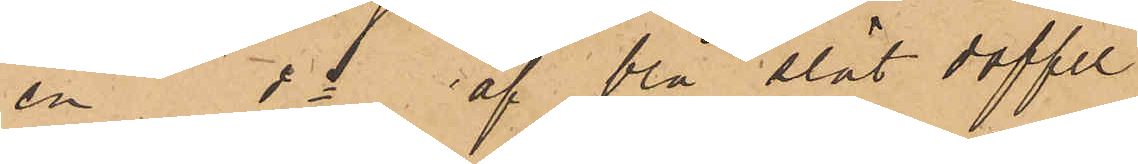en do af blå slät doffel
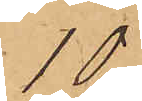10
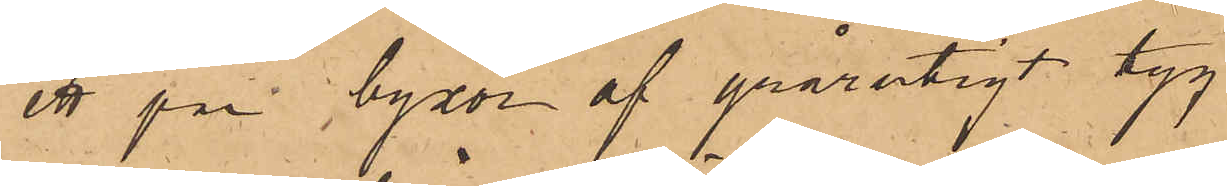ett par byxor af grårutigt tyg
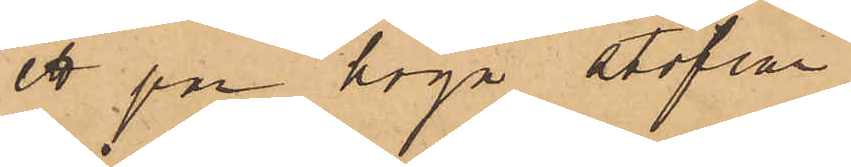ett par höga stöflar
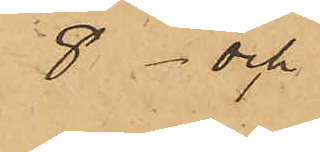8 och
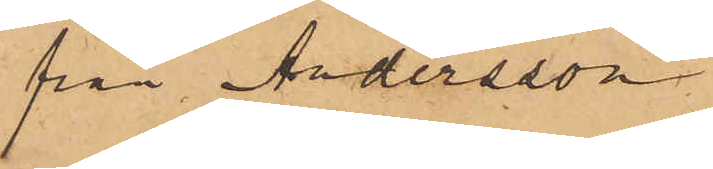från Andersson
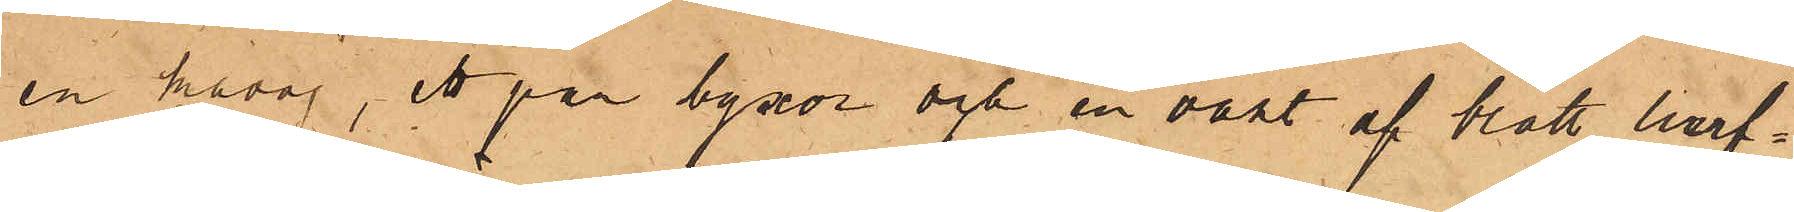en kavaj, ett par byxor och en väst af blått lurf¬
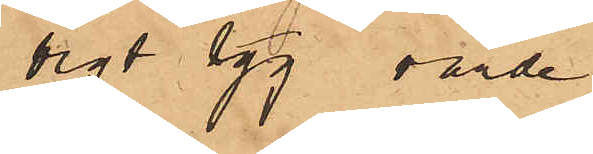vigt tyg, värde
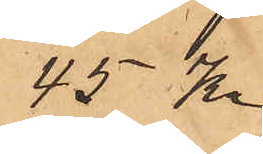45 Kr
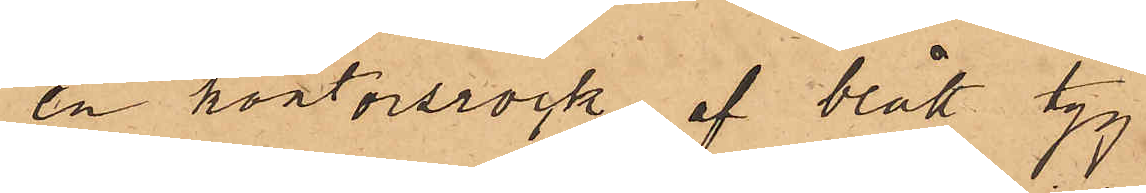en kontorsrock af blått tyg
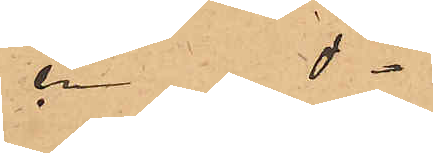en do   
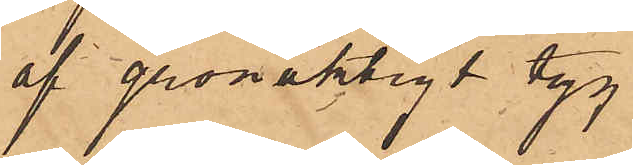af grönaktigt tyg
